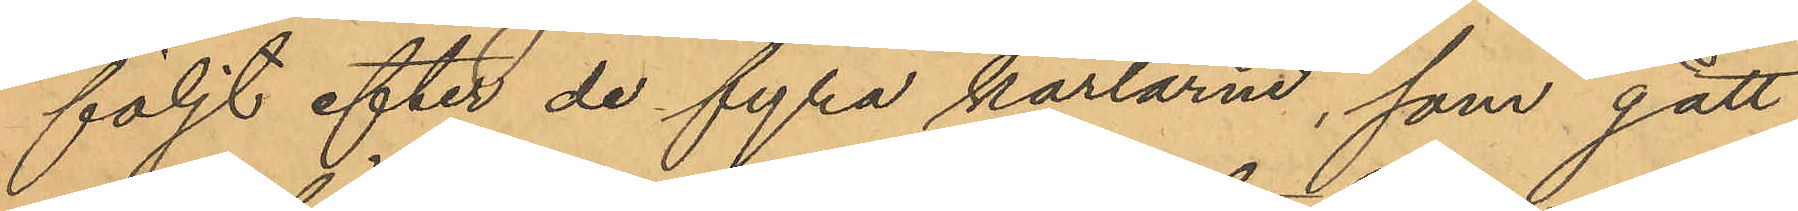följt efter de fyra karlarne, som gått
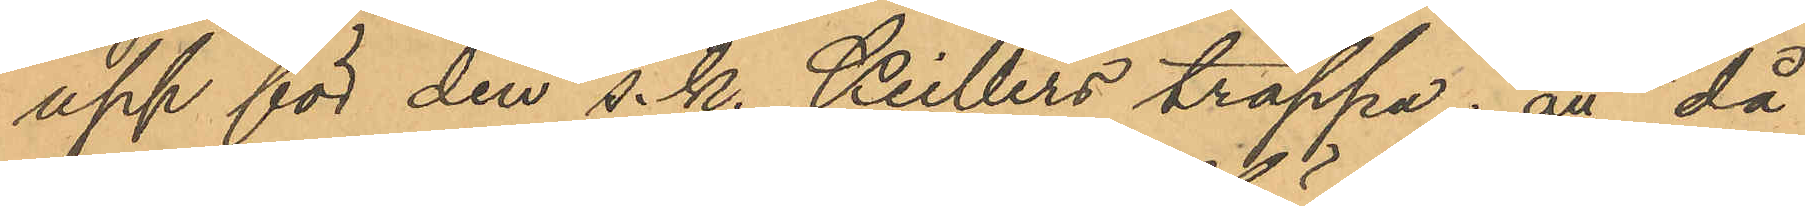upp för den s.k. Keillers trappa; att då
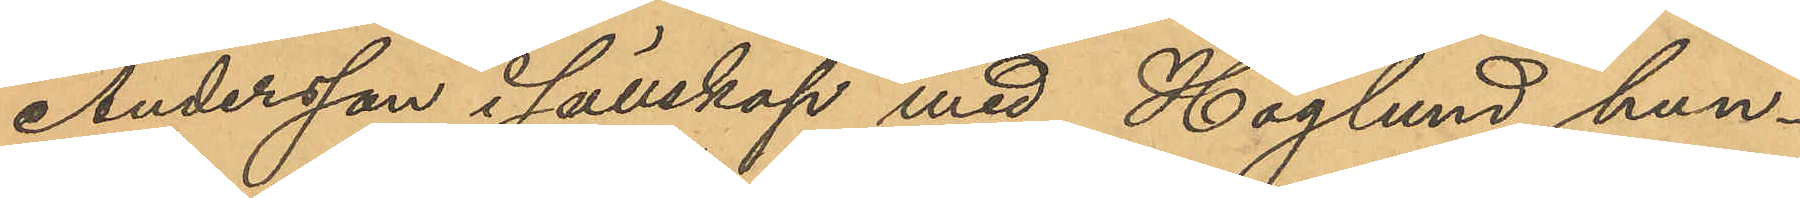Andersson i sällskap med Höglund hun¬
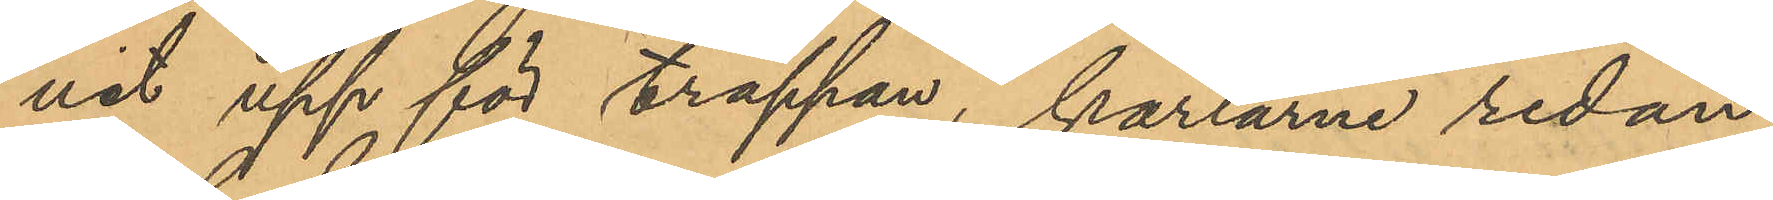nit upp för trappan, karlarne redan
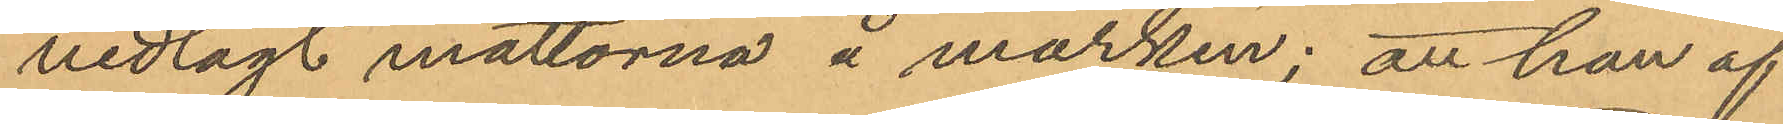nedlagt mattorna å marken; att han af
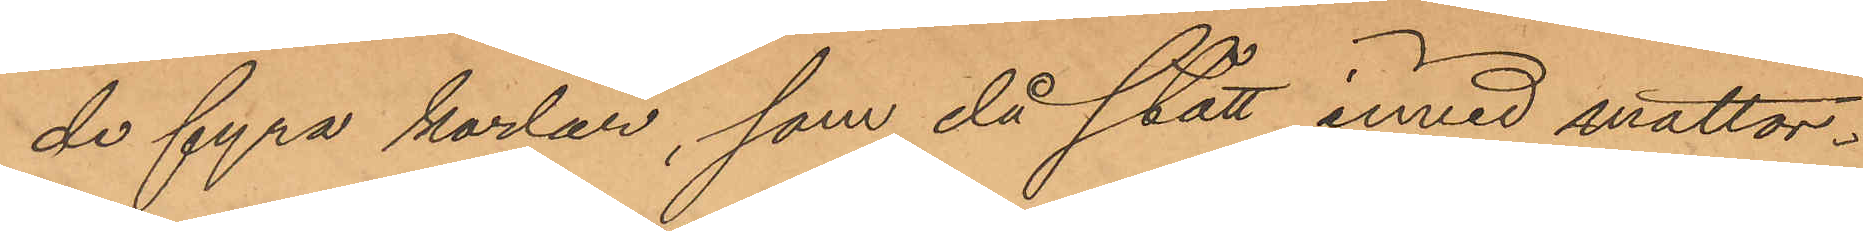de fyra karlar, som då stått invid mattor¬
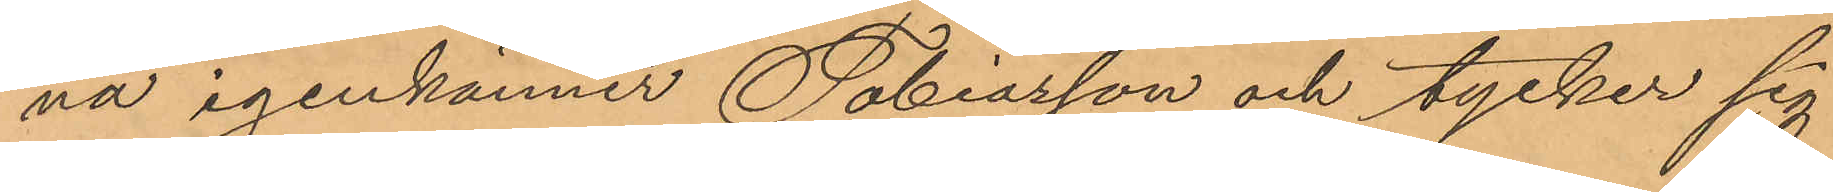na igenkänner Tobiasson och tycker sig
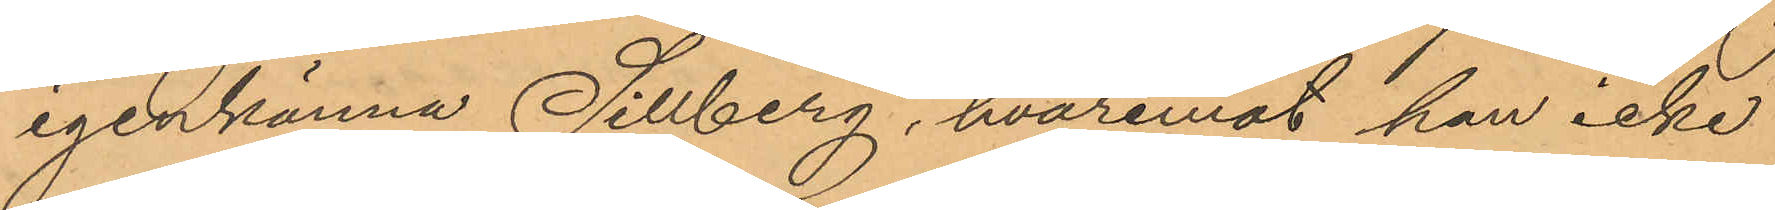igenkänna Sillberg, hvaremot han icke
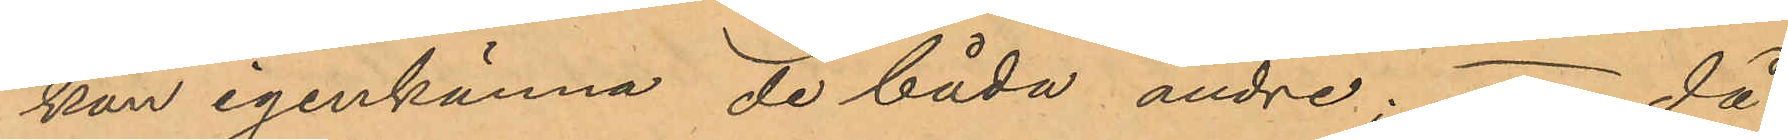kan igenkänna de båda andre; att då
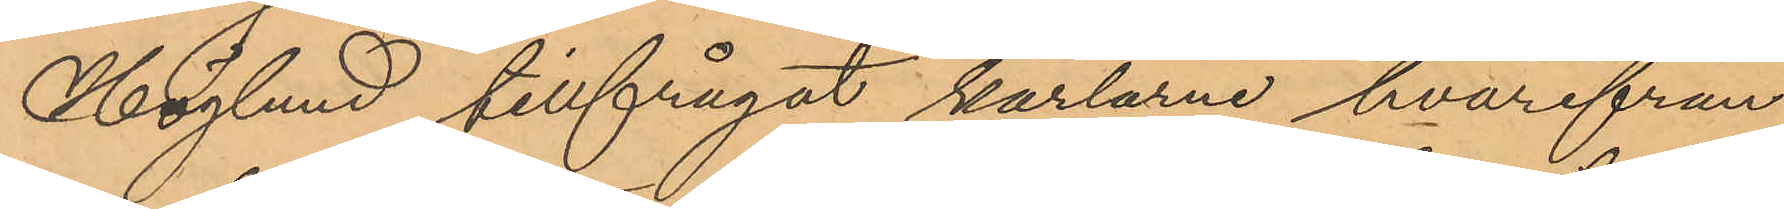Höglund tillfrågat karlarne hvarifrån
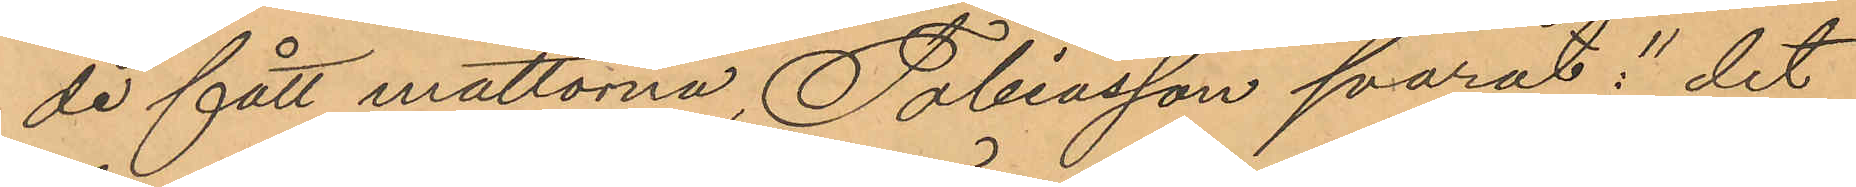de fått mattorna, Tobiasson svarat: "det
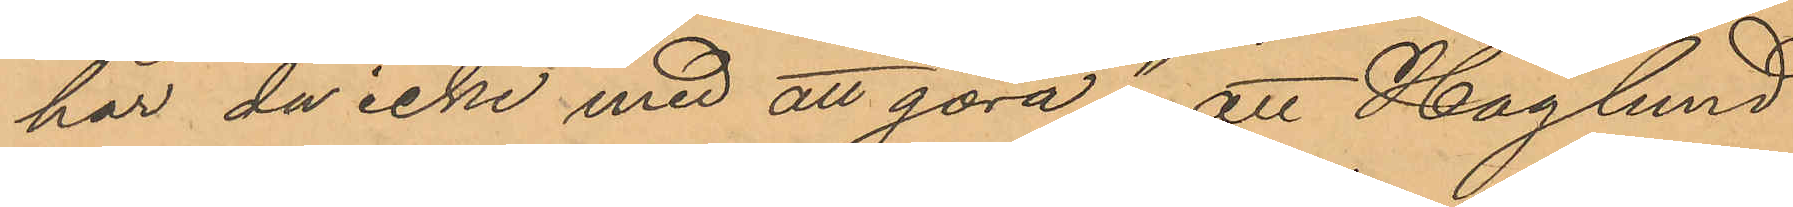har du icke med att göra"; att Höglund
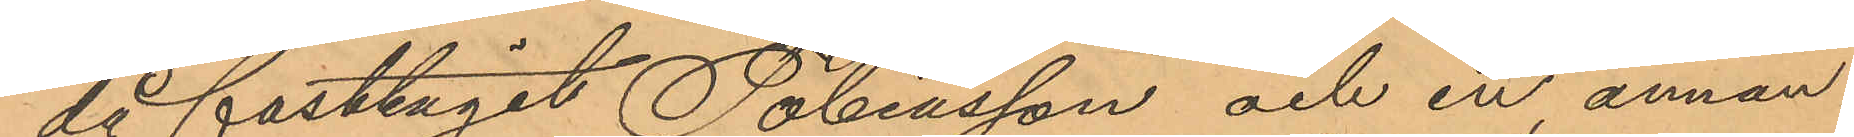då fasttagit Tobiasson och en annan
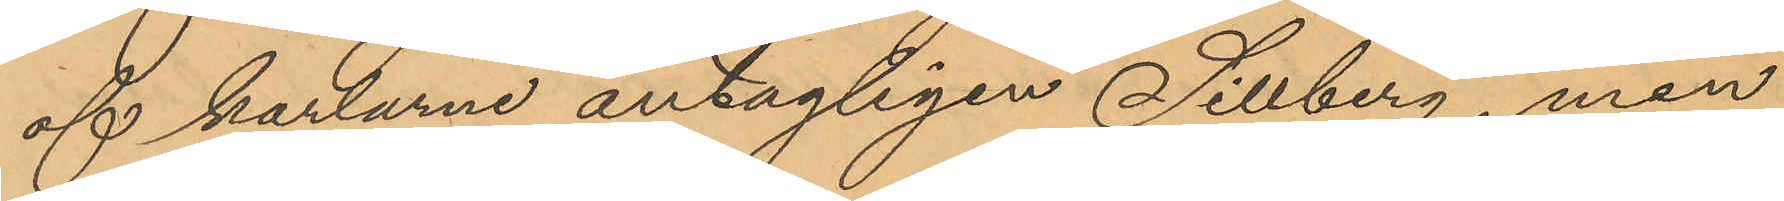af karlarne, antagligen Sillberg, men
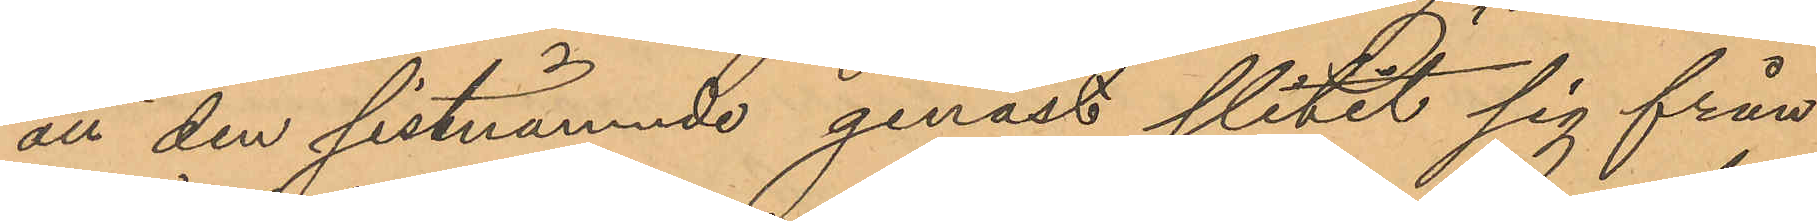att den sistnämnde genast slitit sig från
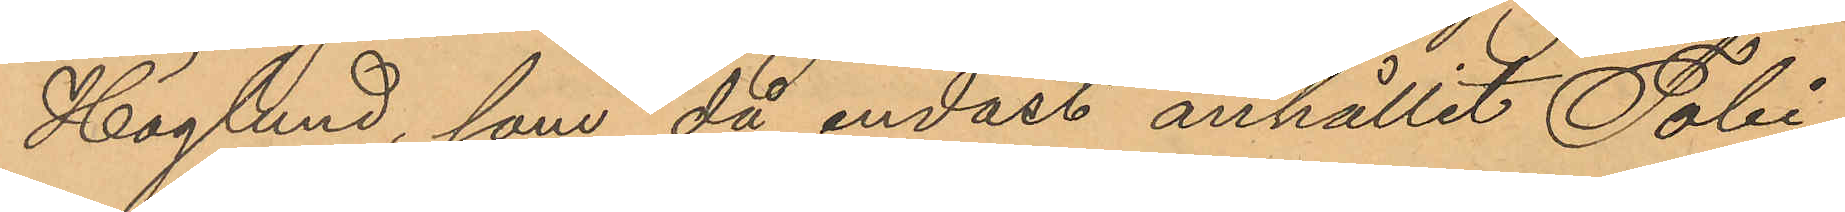Höglund, som då endast anhållit Tobi¬
